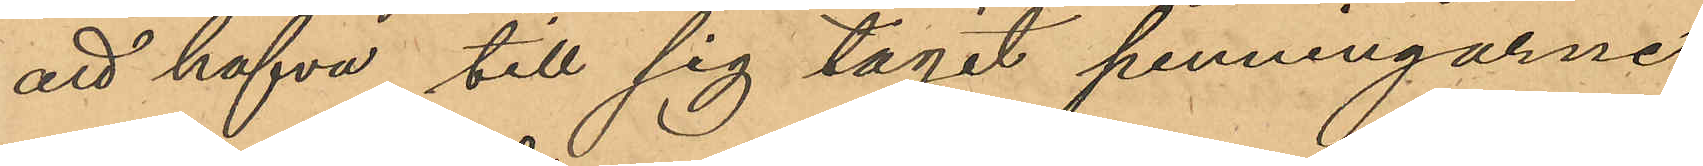att hafva till sig tagit penningarne,
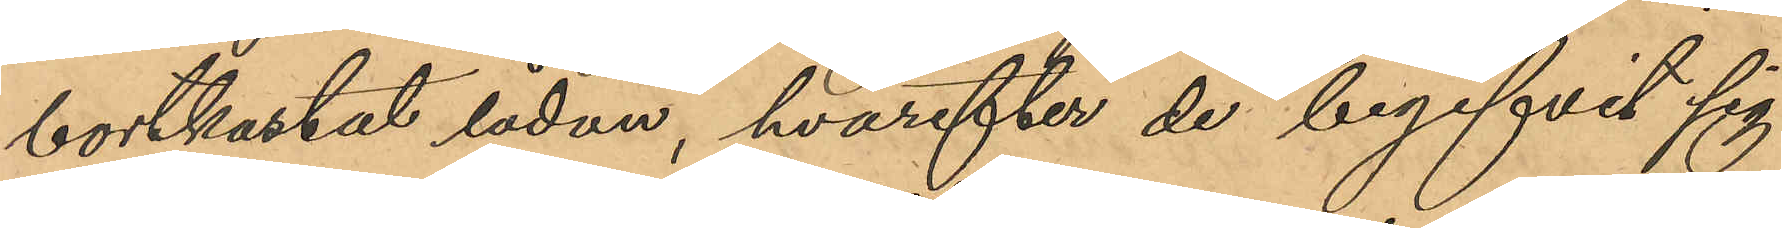bortkastat lådan, hvarefter de begifvit sig
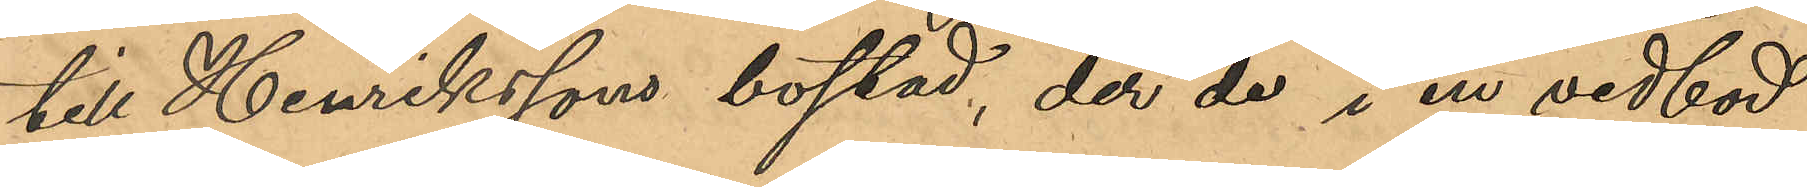till Henrikssons bostad, der de i en vedbod
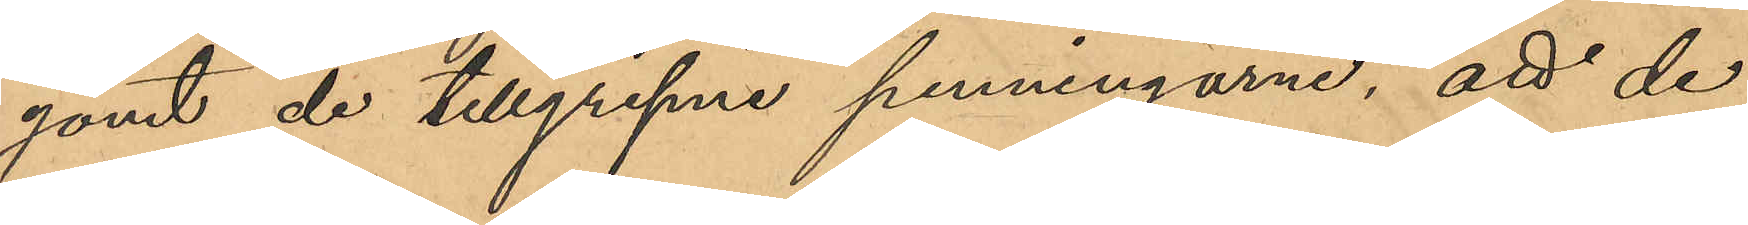gömt de tillgripne penningarne; att de
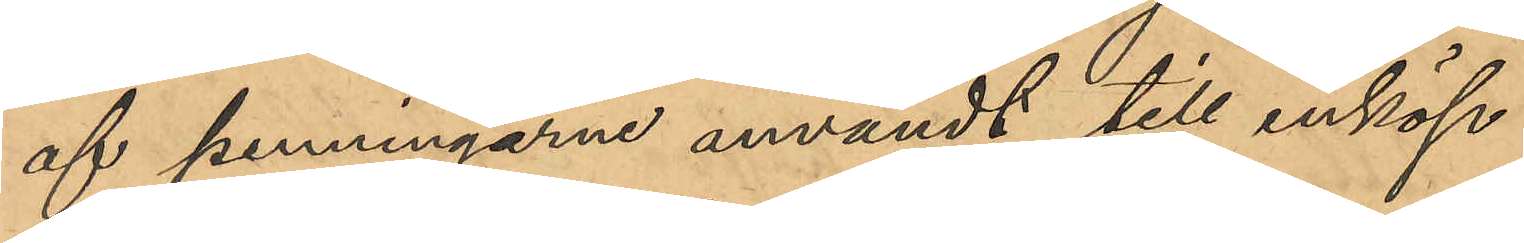af penningarne användt till inköp
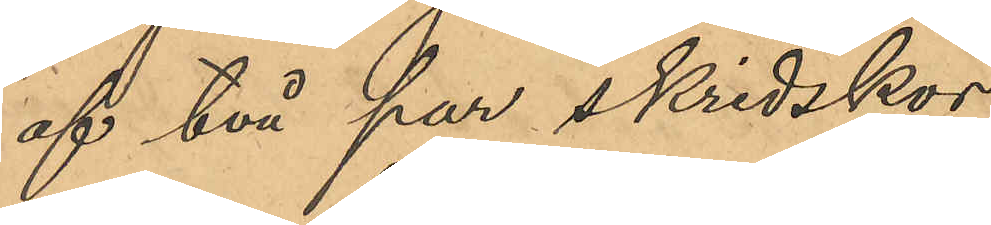af två par skridskor        Kr 3,25
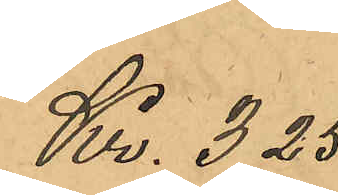af två par skridskor        Kr 3,25
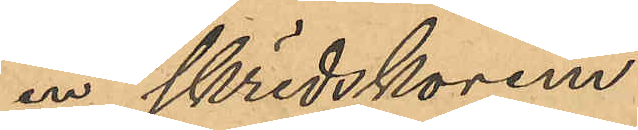" en skridskorem             " 0,35
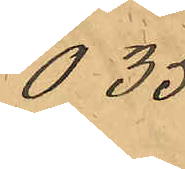" en skridskorem             " 0,35
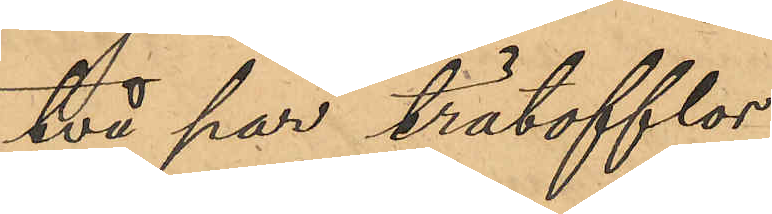           " två par trätofflor         " 2,75           
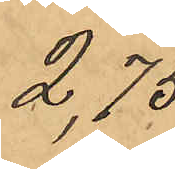           " två par trätofflor         " 2,75           
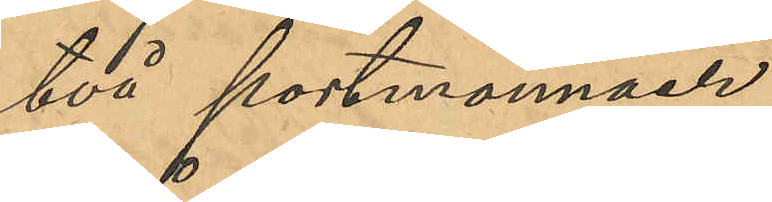                      " två portmonnäer        " 0,50                        
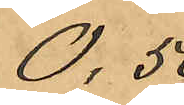                      " två portmonnäer        " 0,50                        
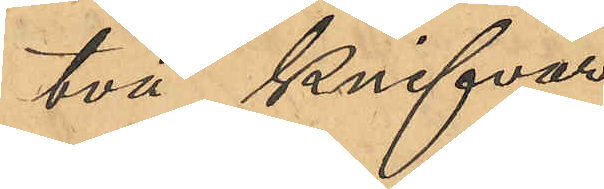                   " två knifvar                    "1,00                     
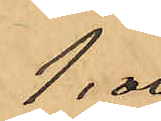                   " två knifvar                    "1,00                     
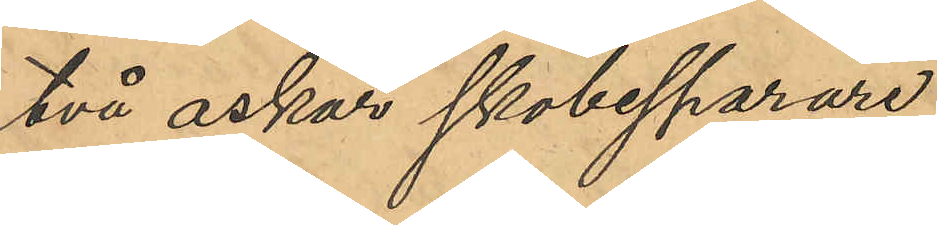             " två askar skobesparare   " 0,40           
